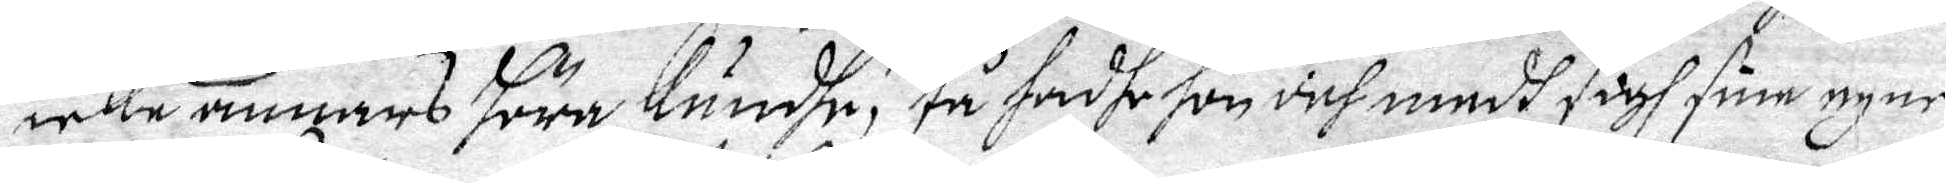icke annars höra Kundhe, tå hadhe hon och medh sigh sine egne
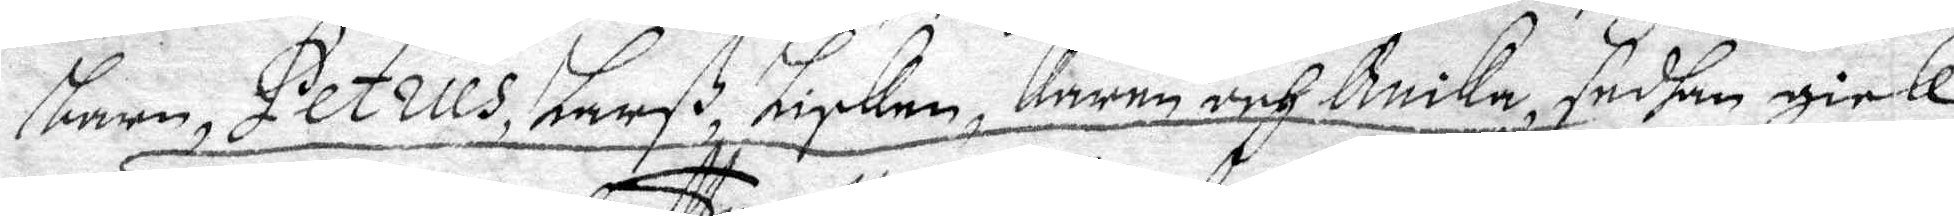barn, Petrus, Larß, Lisken, Karen och Anika, sedhan gick
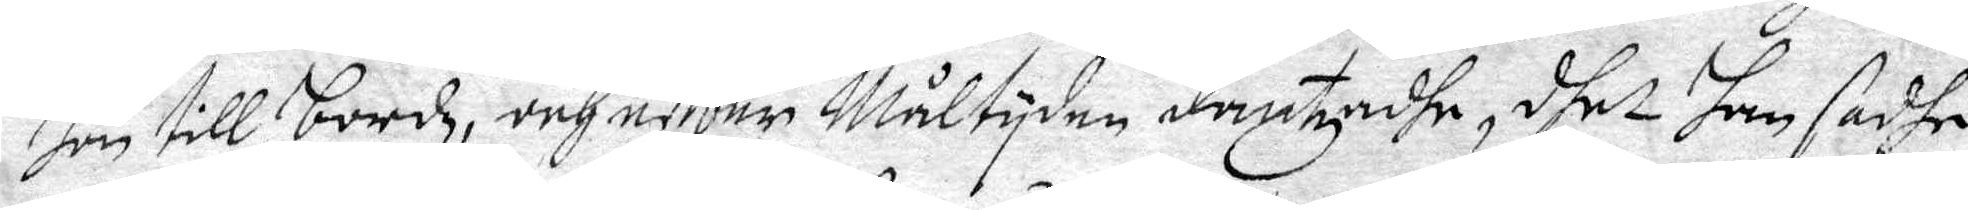hon till bordz, och efter Wåltyden dantzade, dhet han sadhe
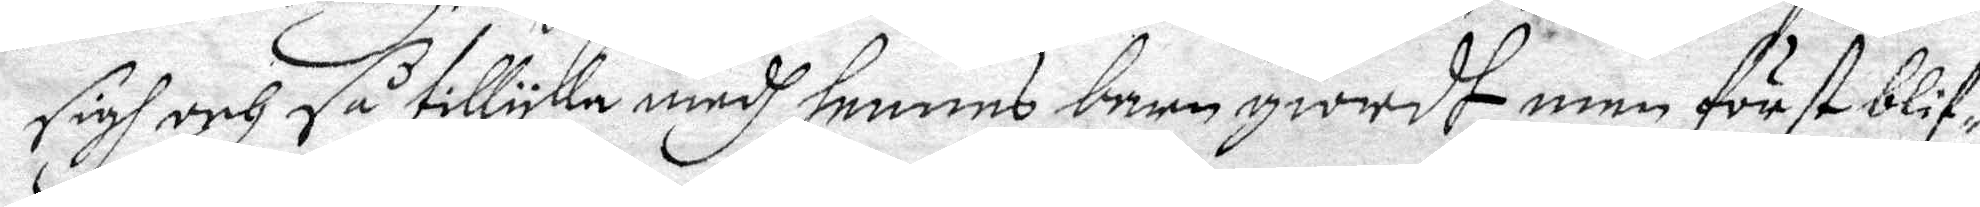sigh och få tillyka medh hennes barn giordh, men först blif¬
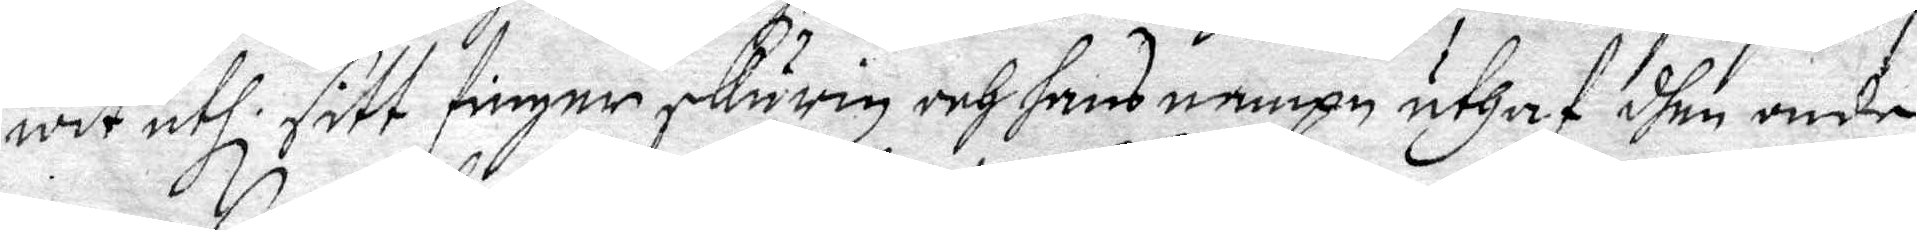wit uthi sitt finger skurin och hans nampn uthaf dhen onde
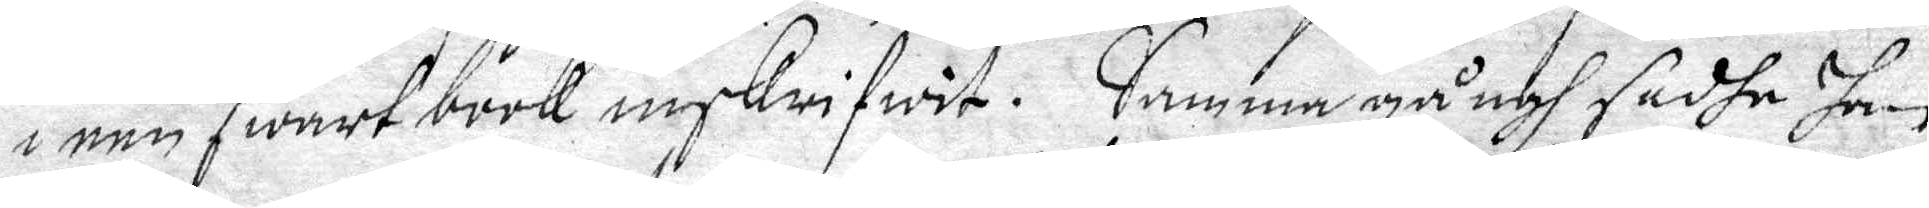i een swart book inskrifwit. Samma gångh sadhe han
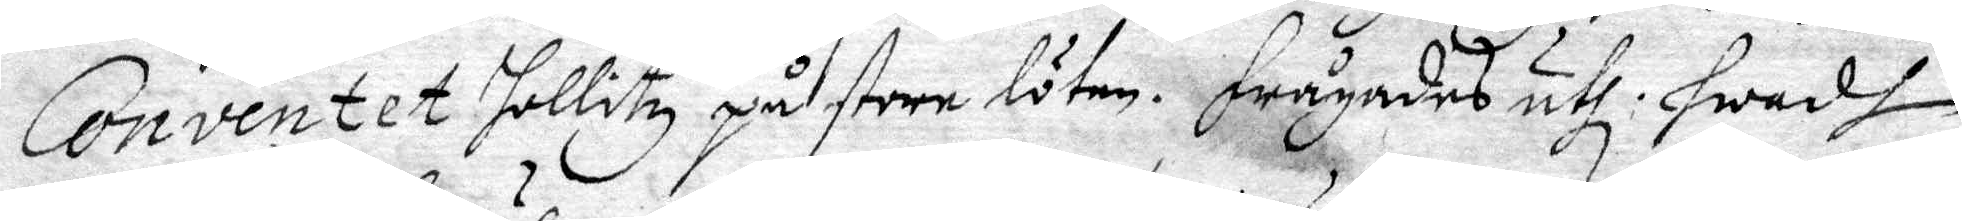Conventet hollitz på stora löten. Frågades uthi hwadh
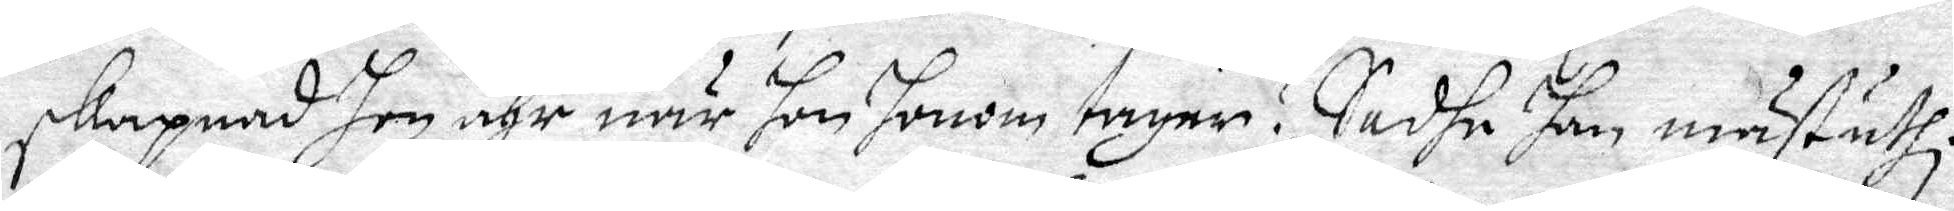skapnad hon ähr när hon honom tager? Sadhe han mäst uthi
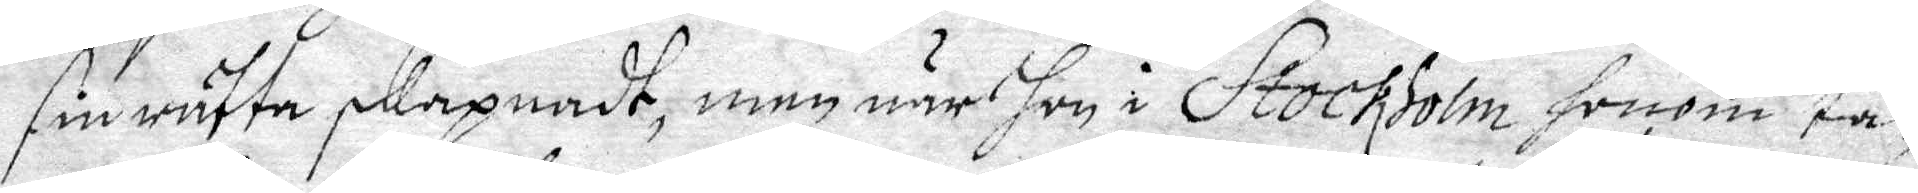fin rätta skapnadt, men när hon i Stochholm honom ta¬
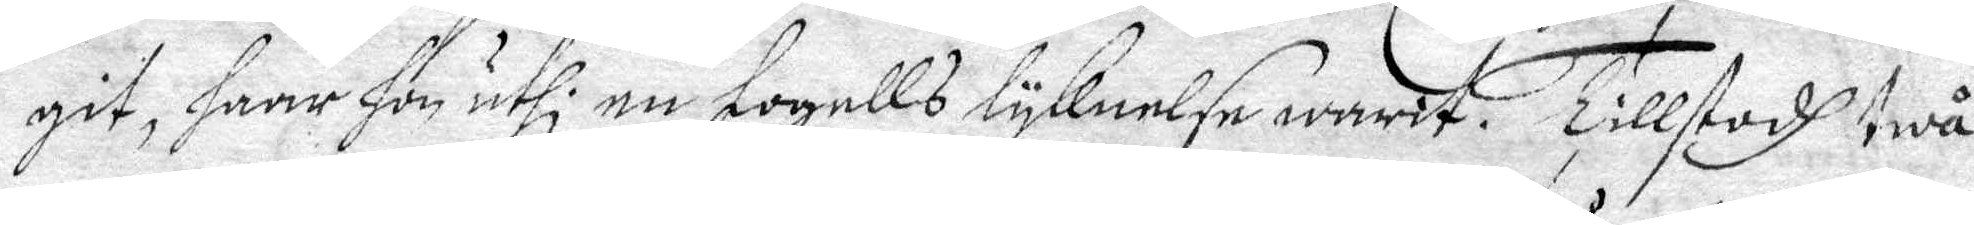git, haar hon uthi en fogells lyknelse warit. Tillstodh twå
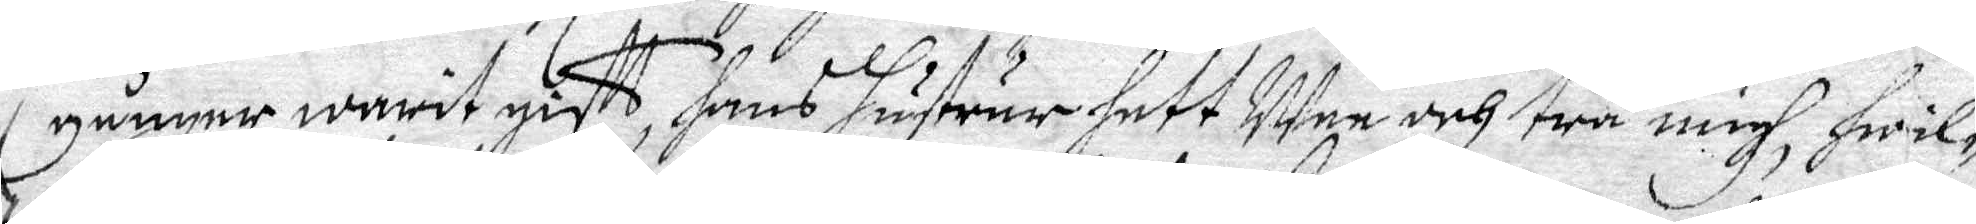gånger warit gift, hans hustrur hett Mee och twå migh, hwil¬
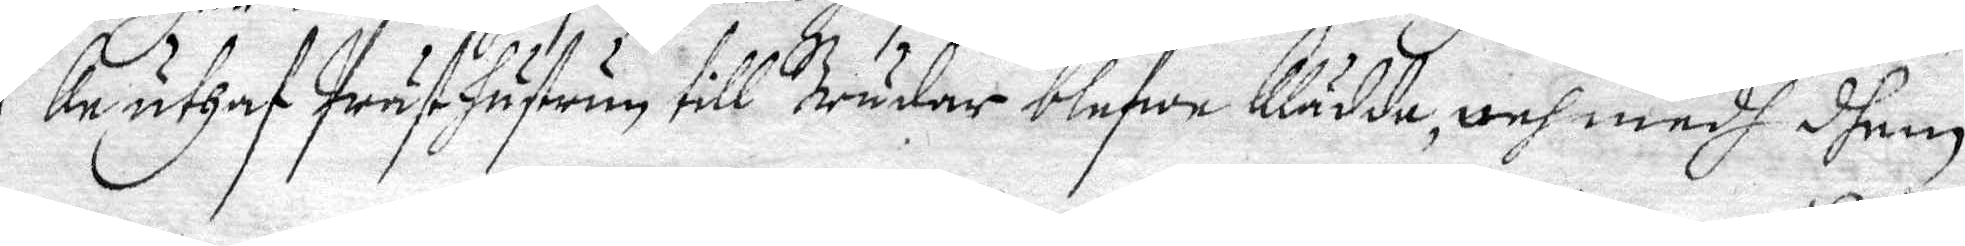ka uthaf Prästhustrun till Brudar blefwe Klädda, och medh dhem
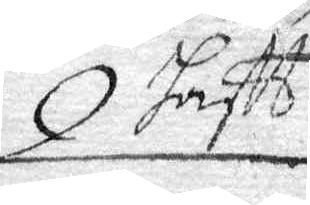haftt
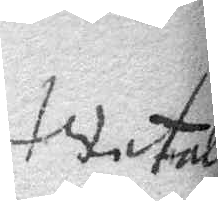.....
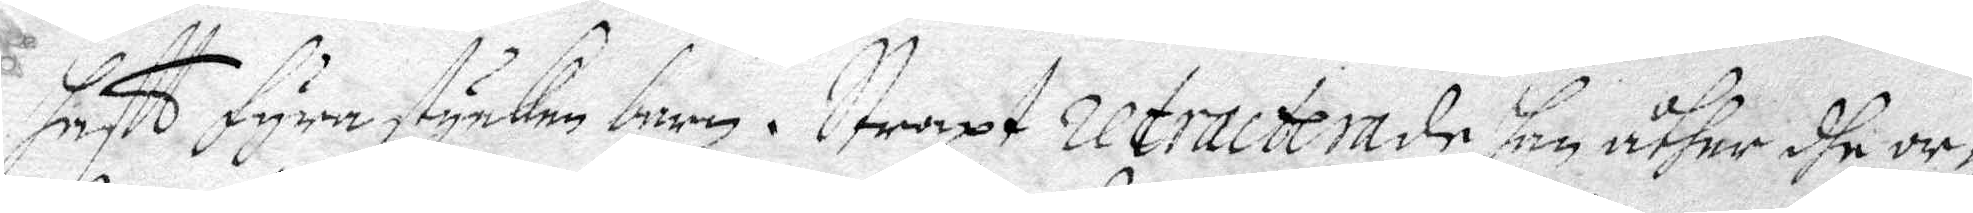haftt fyra stycken barn. Straxt retracterade han uther dhe or¬
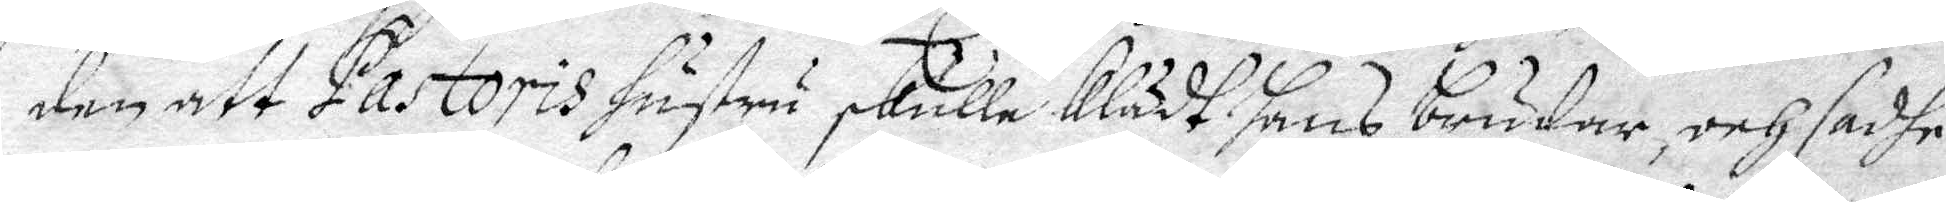den att Pastoris hustru skulle Klädt hans brudar, och sadhe
